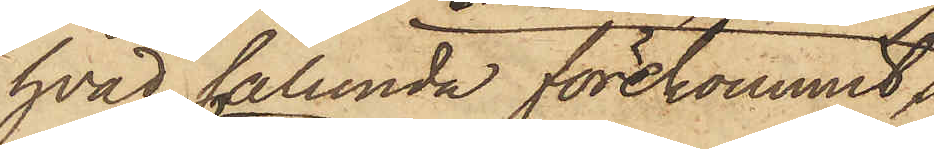hvad sålunda förekommit,
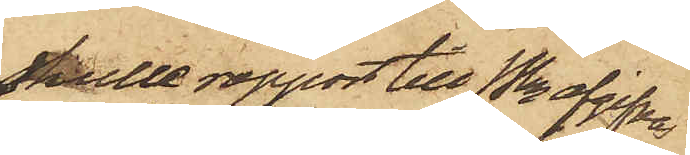skulle rapport till Pkn afgifvas
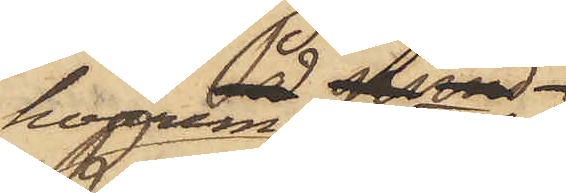hvaremedlertid
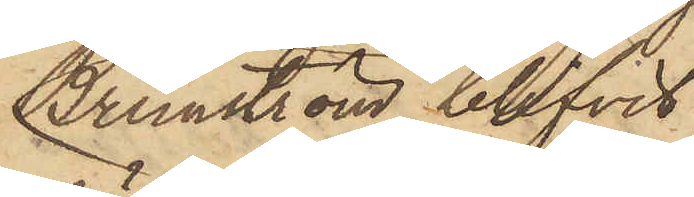Brunström blifvit
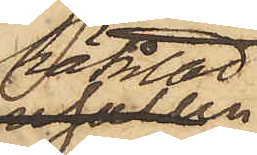häktad
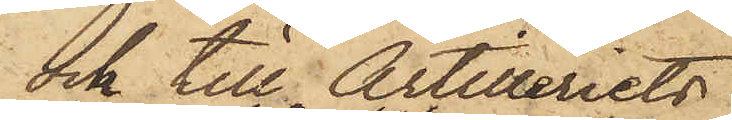ock till Artilleriets
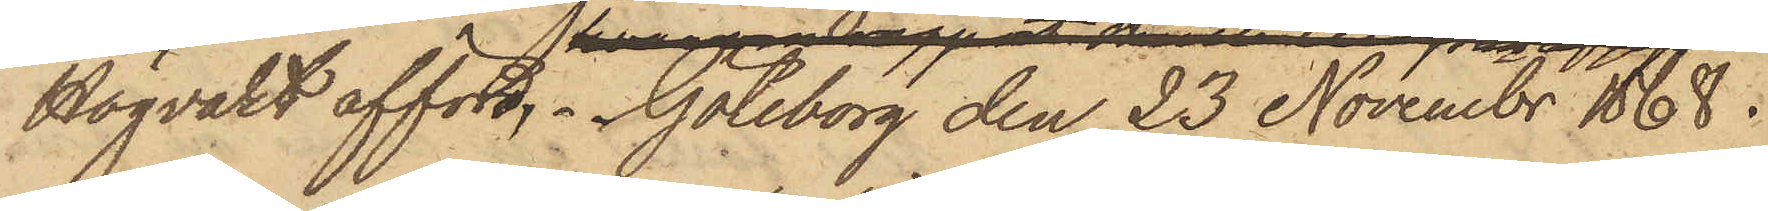Högvakt afförd. Göteborg den 23 Novembr 1868.
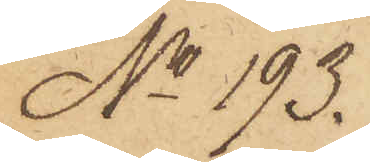No 193.
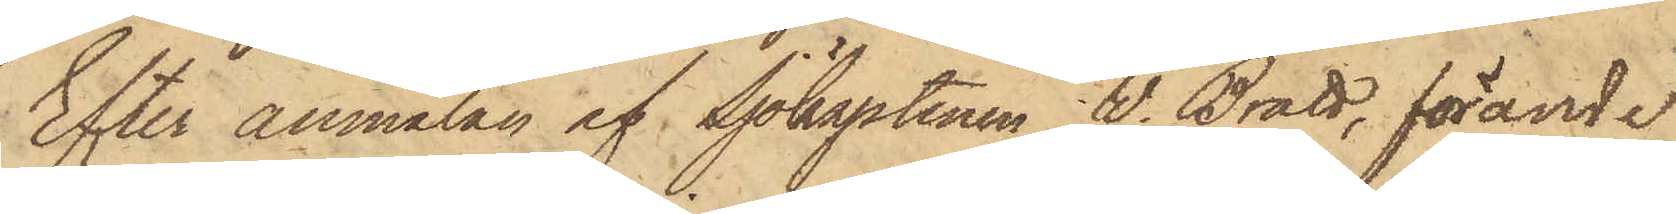Efter anmälan af Sjökaptenen V. Bratt, förande
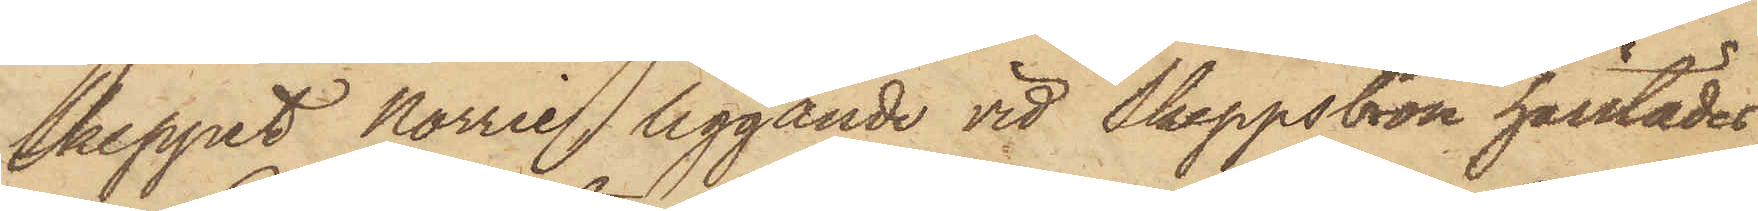skeppet Norrie liggande vid Skeppsbron härstädes,
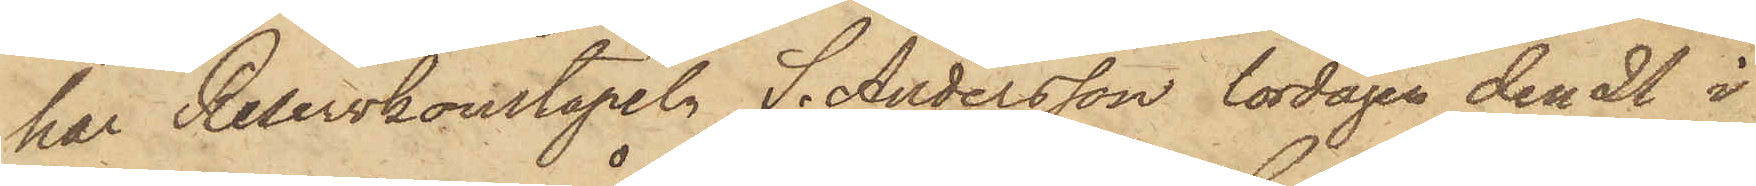har Reservkonstapeln S. Andersson lördagen den 21 i
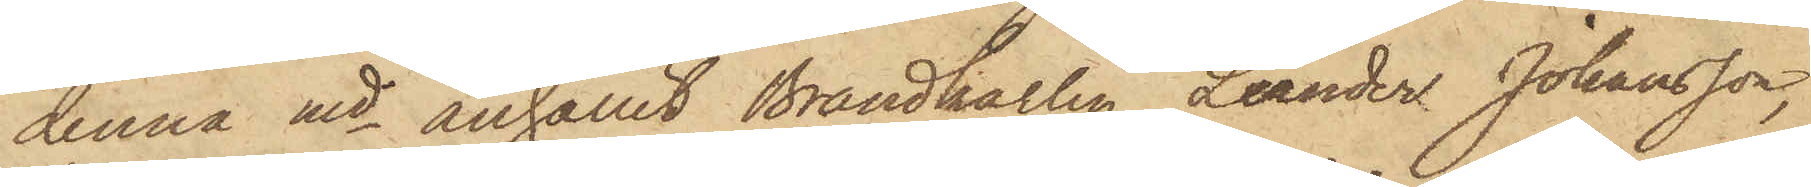denna md anhållit Brandkarlen Leander Johansson,
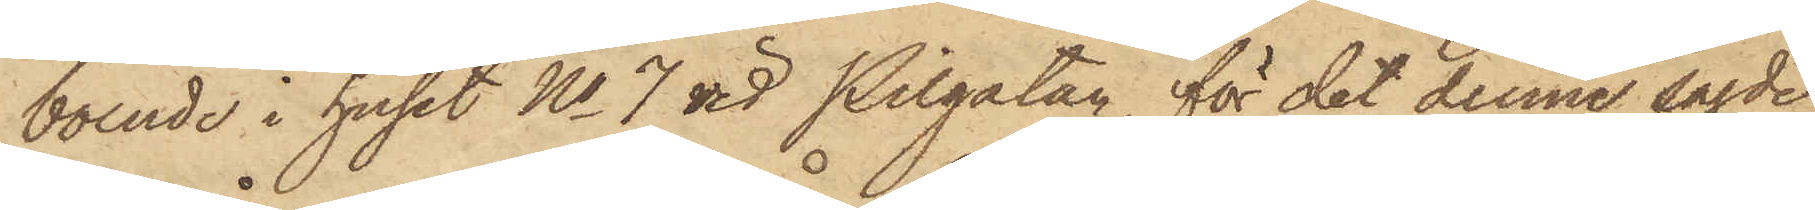boende i huset No 7 vid Pilgatan, för det denne sagde
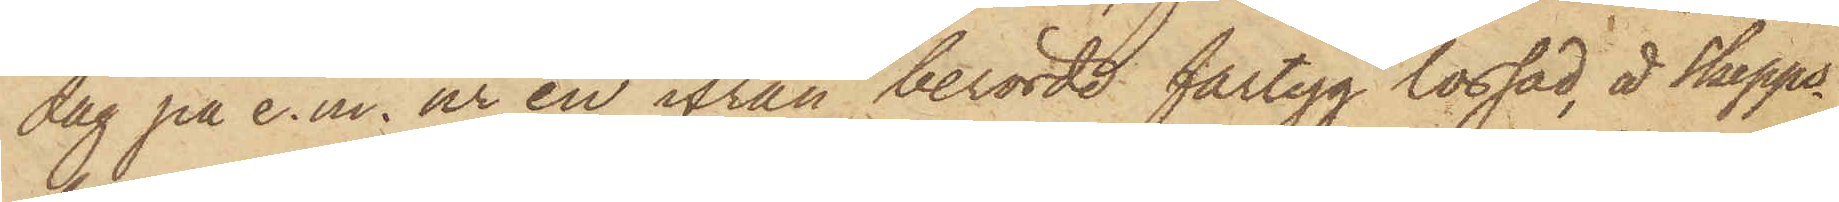dag på e.m. ur en ifrån berörde fartyg lossad, å Skepps¬
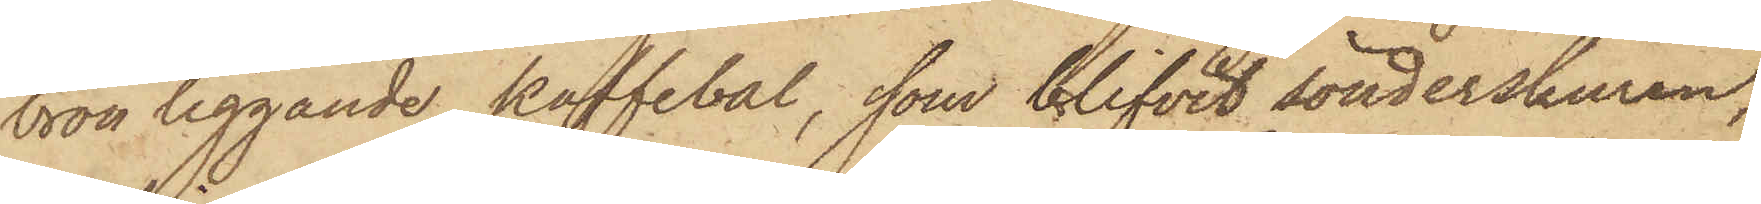bron liggande kaffebal, som blifvit sönderskuren,
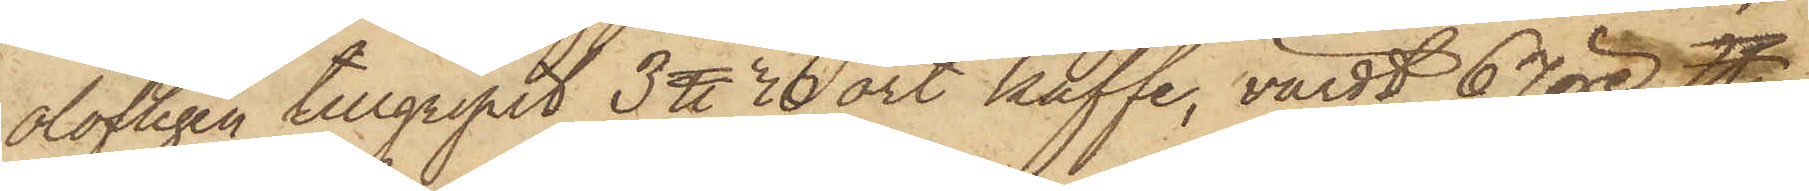olofligen tillgripit 3 ℔ 30 ort kaffe, värdt 67 öre ℔;
